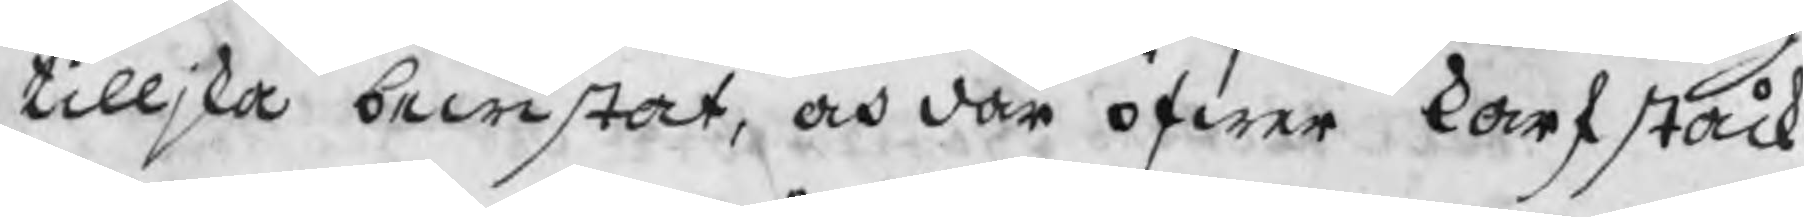tilljka bewistat, och där öfwer karfståck
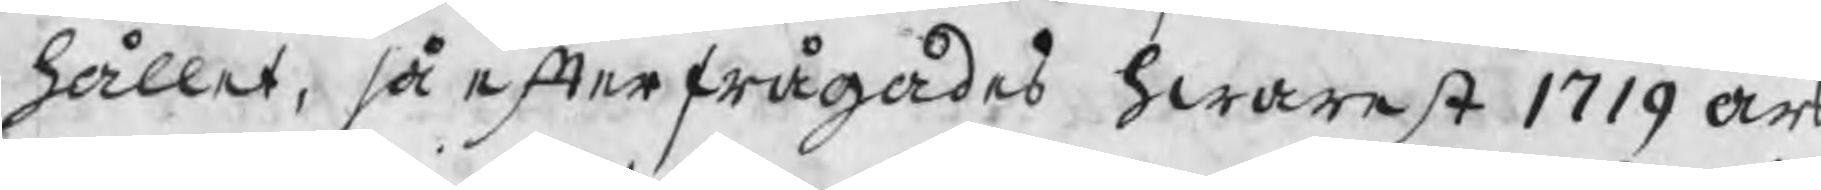hållet, så efterfrågades hwarest 1719 års
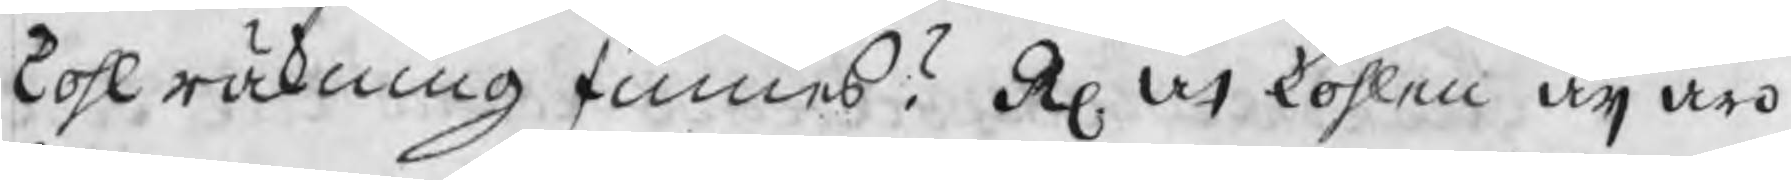kohl räkning finnes? R at kohlen äj äro
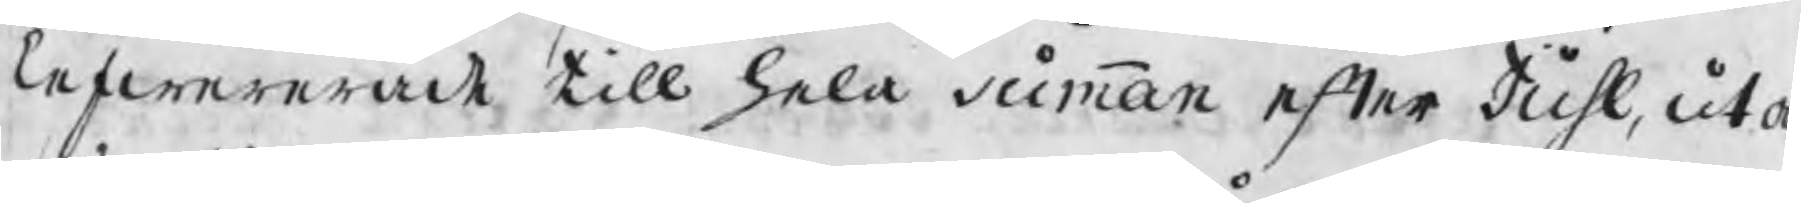lefwererat till hela summan efter Juhl, utan
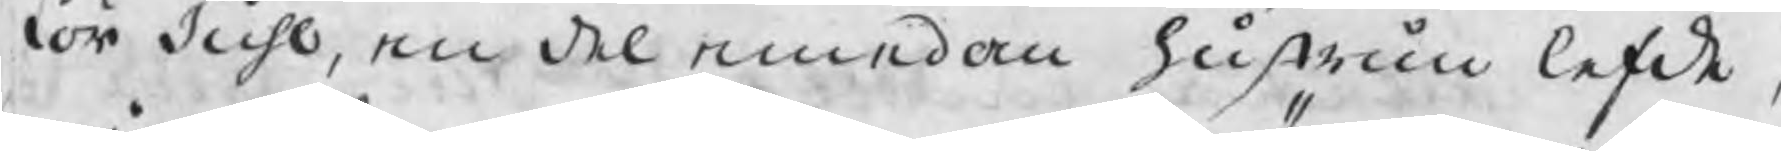för Juhl, en del emedan hustrun lefde,
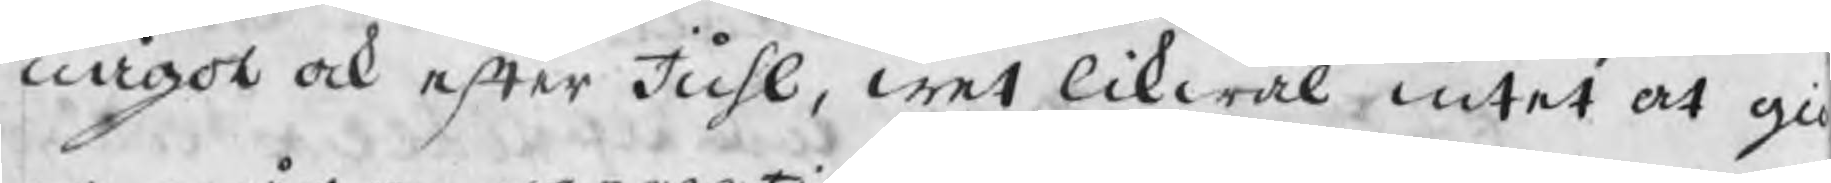något ock efter Juhl, wet likwäl intet at gi
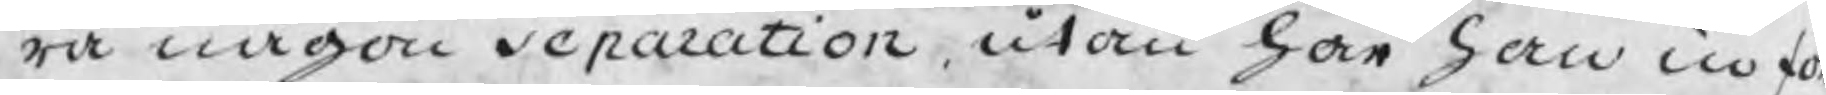ra någon separation utan har han in fö
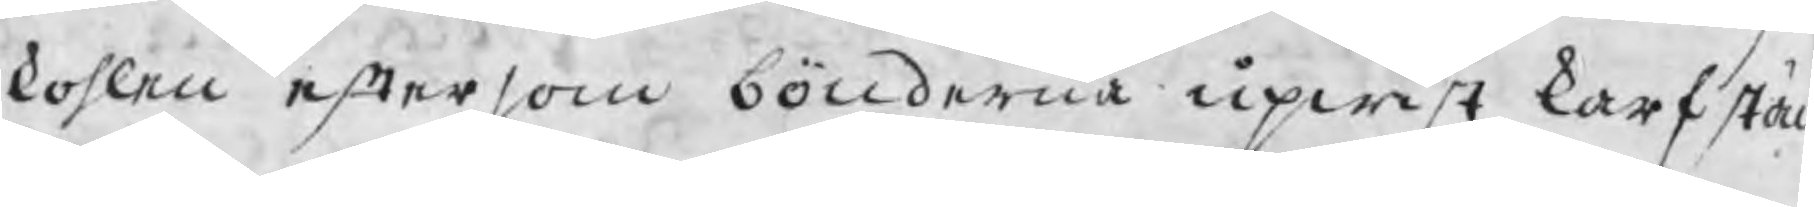kohlen eftersom bönderna upwist karfstå
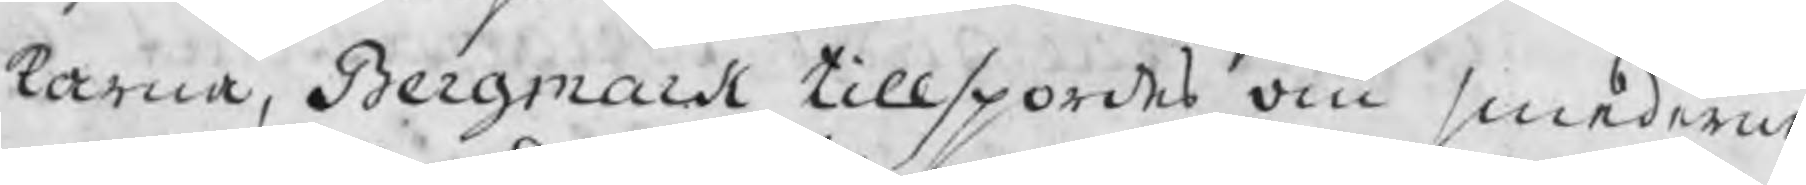karna, Bergmark tillspordes om smederne
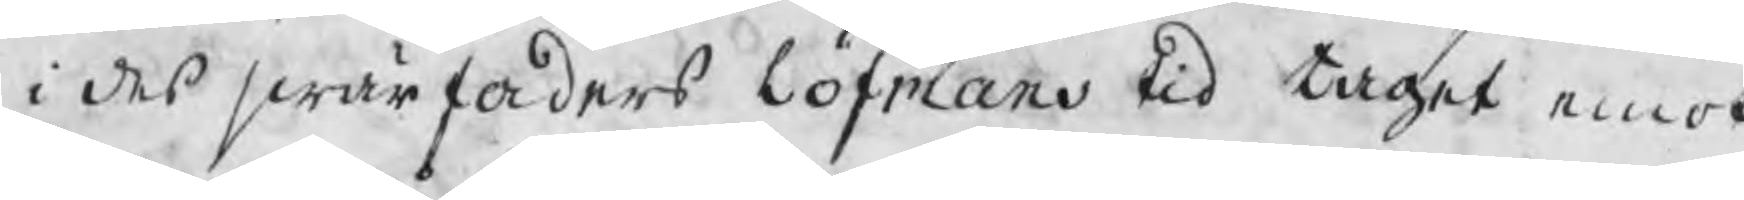i des swärfaders Löfmans tid taget emot
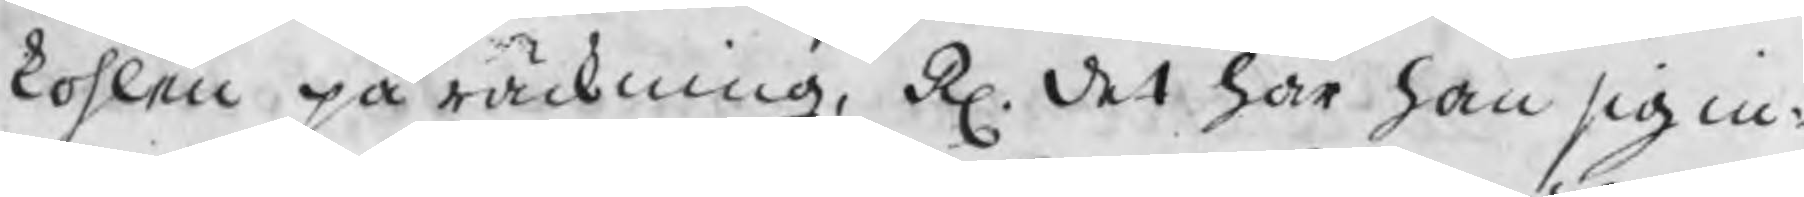kohlen på räckning, R. det har han sig in¬
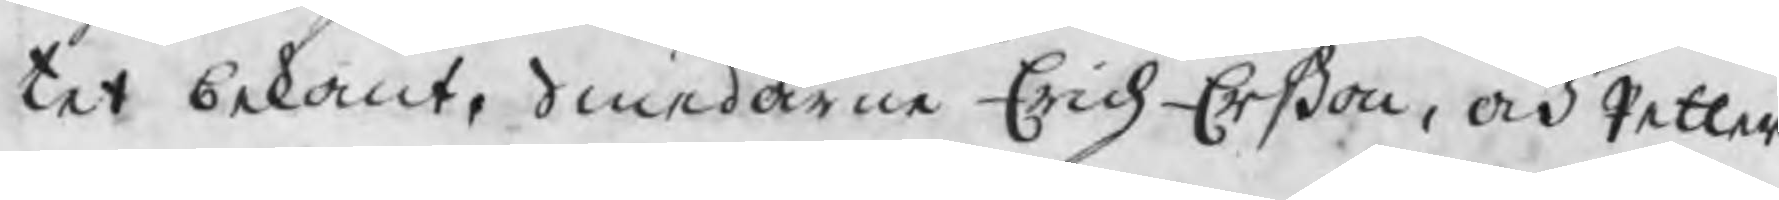tet bekant. Smederne Erich Erßon, och Petter
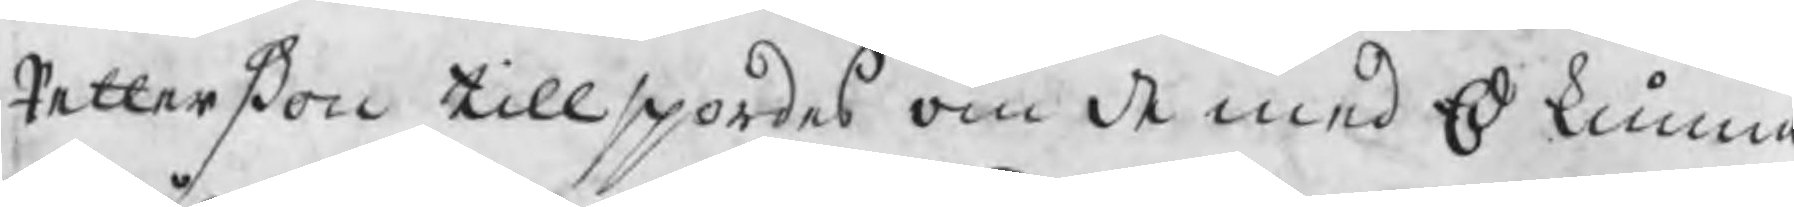Petterßon tillspordes om de med Ed kunna
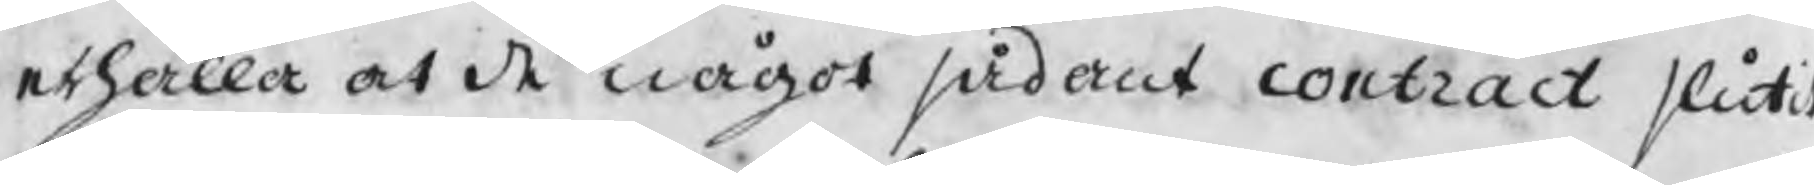erhålla at de något sådant contract slutit
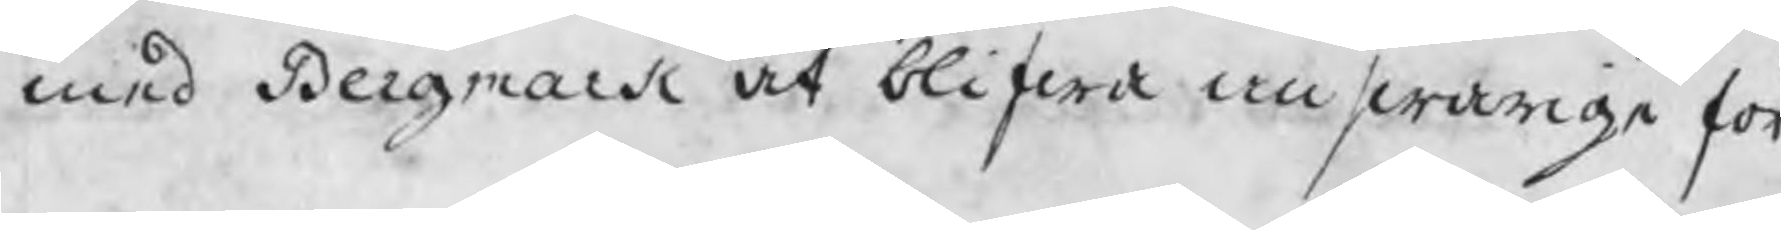med Bergmark at blifwa answarige för
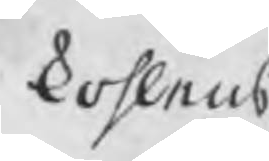kohlens
